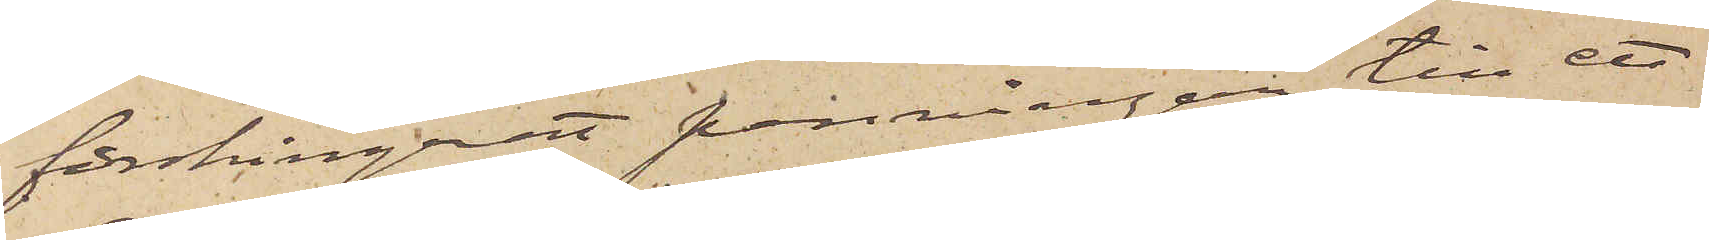förskingrat penningar till ett
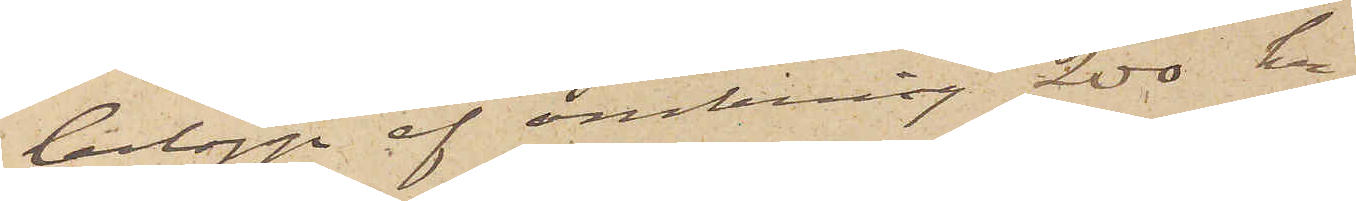belopp af omkring 200 kr.
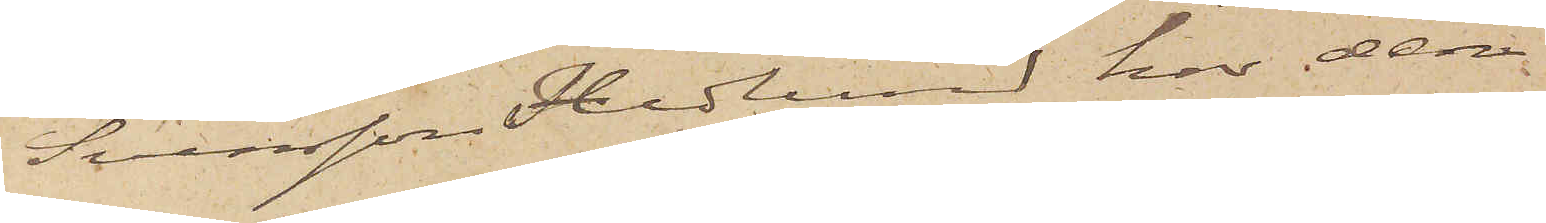Svensson Hedlund har den
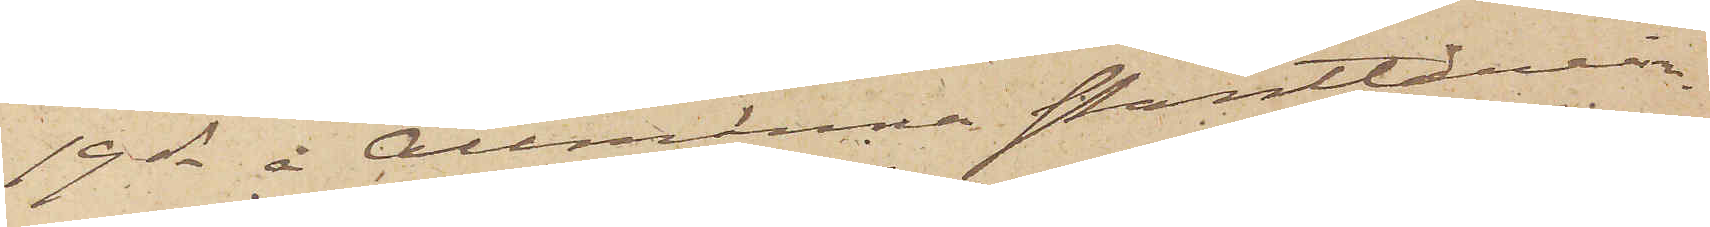19 ds å Allmänna Pantlånein¬
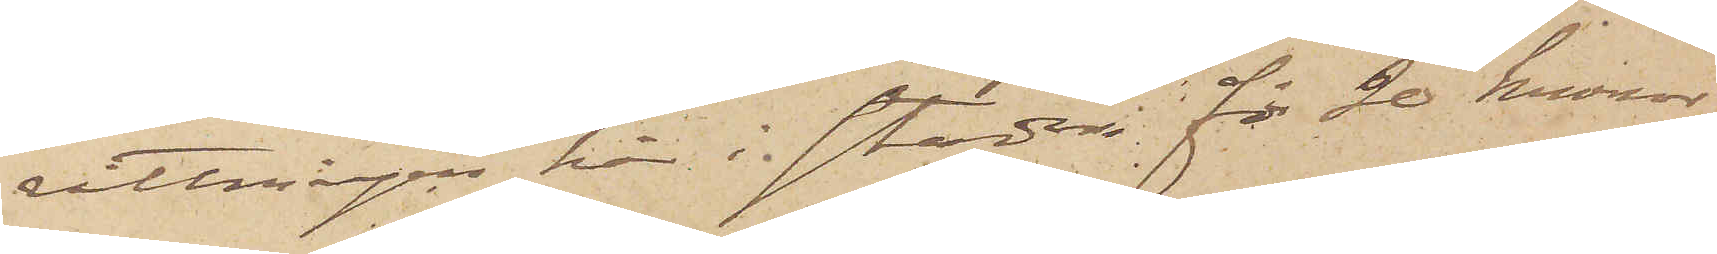rättningen här i staden för 20 kronor
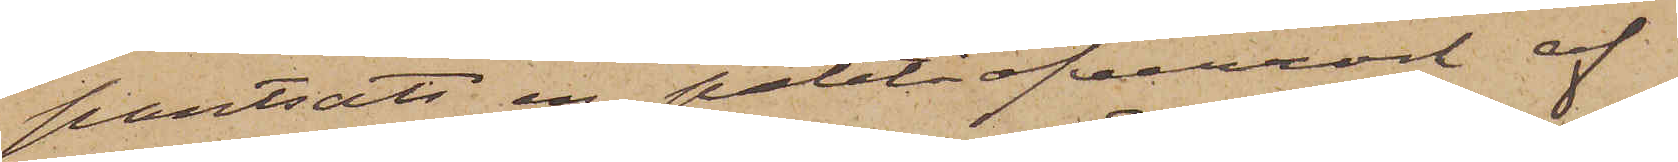pantsatt en paletåöfverrock af
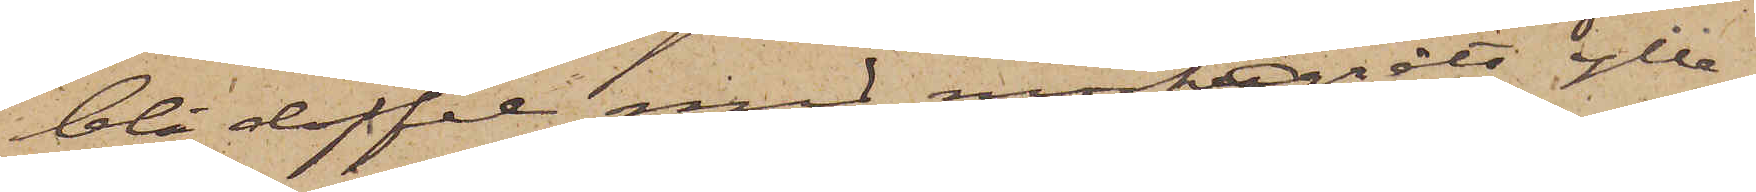blå doffel med mörkgrått ylle¬
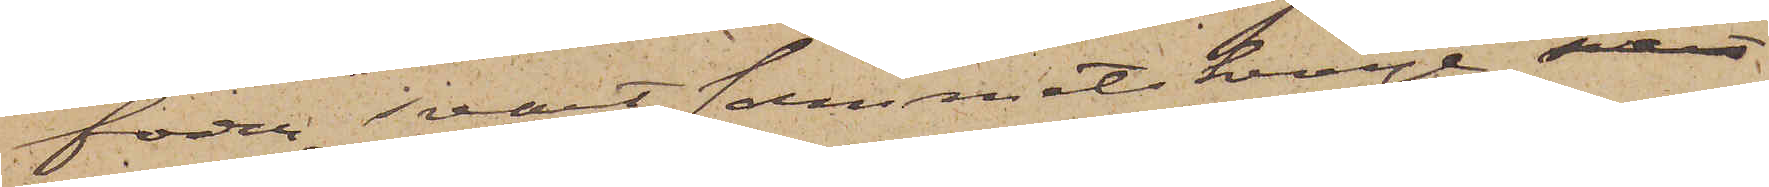foder, svart sammetskrage, samt
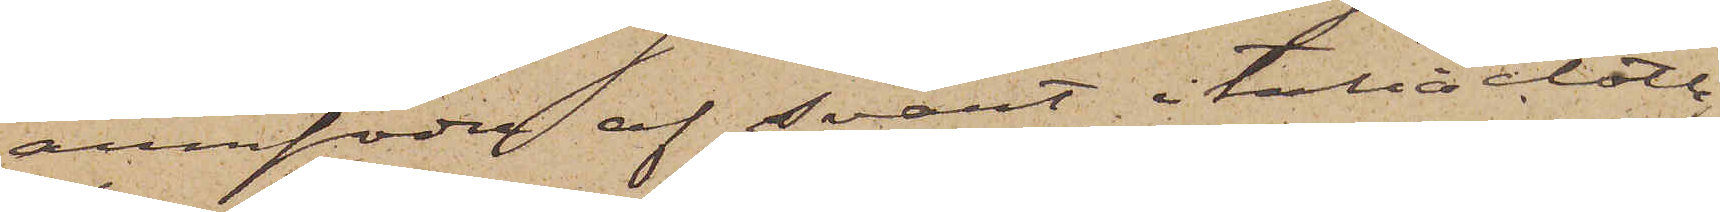armfoder af svart italiacloth,
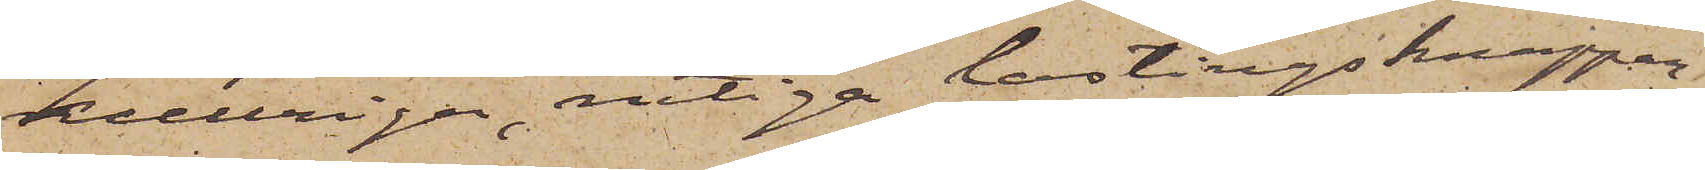kullriga, rutiga lastingsknappar,
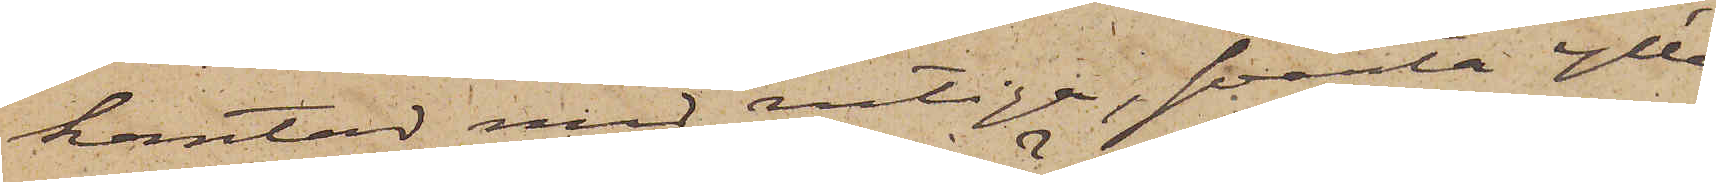kantad med rutiga, svarta ylle¬
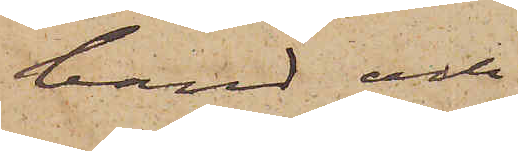band och
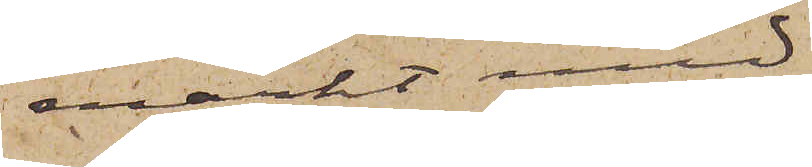märkt med
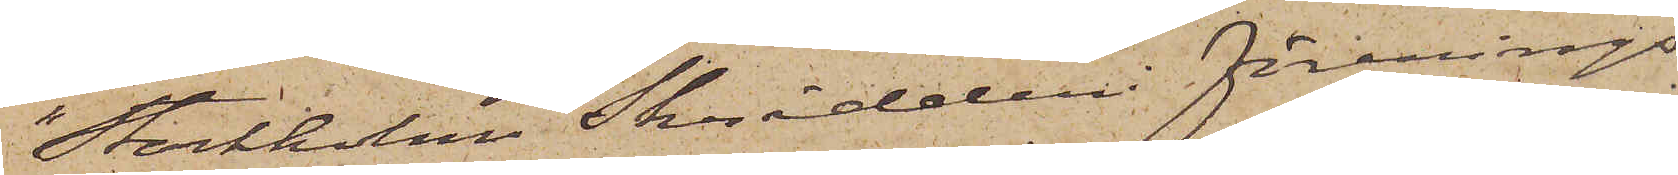"Stockholm Skrädderi förenings¬
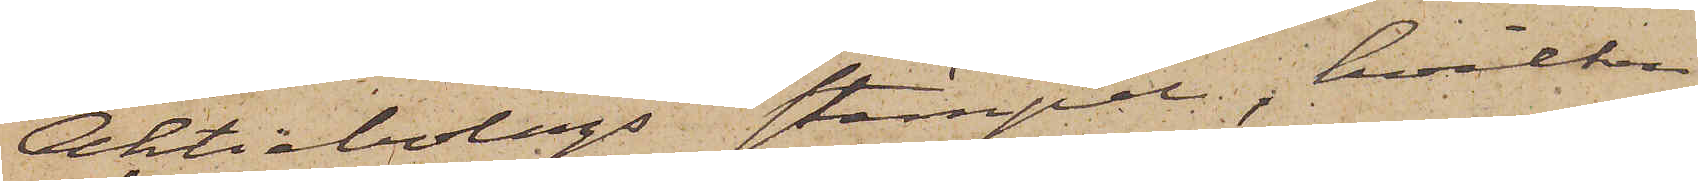Aktiebolags" stämpel, hvilken
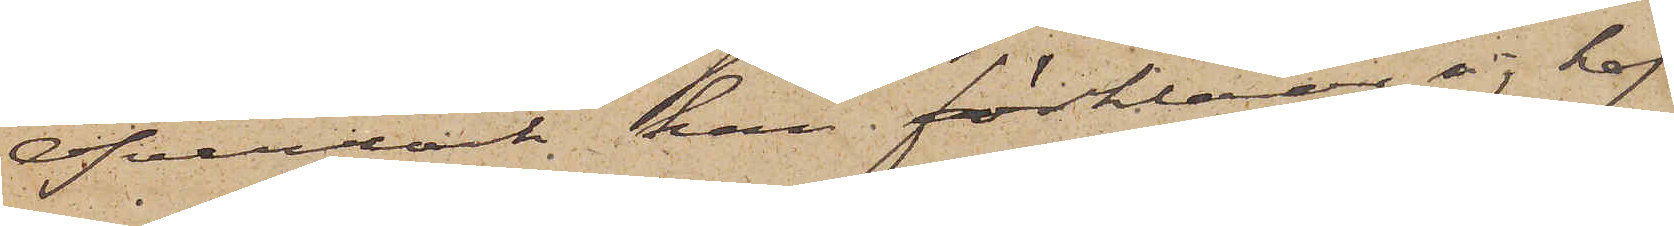öfverrock, han förklarar sig haf¬
